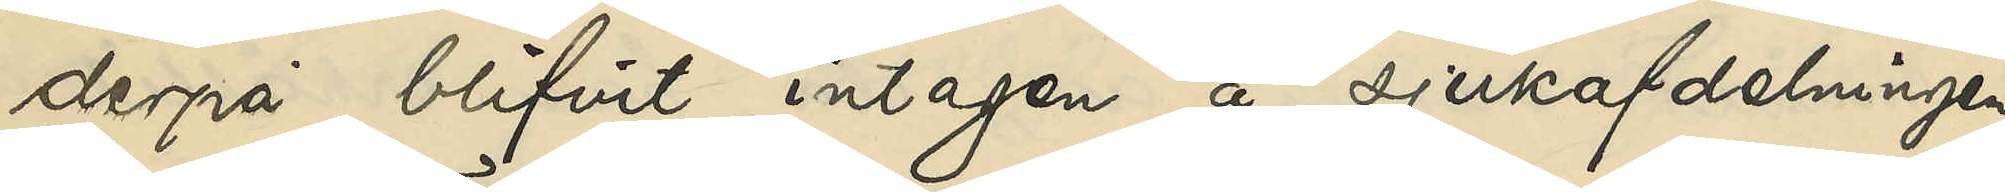derpå blifvit intagen å sjukafdelningen
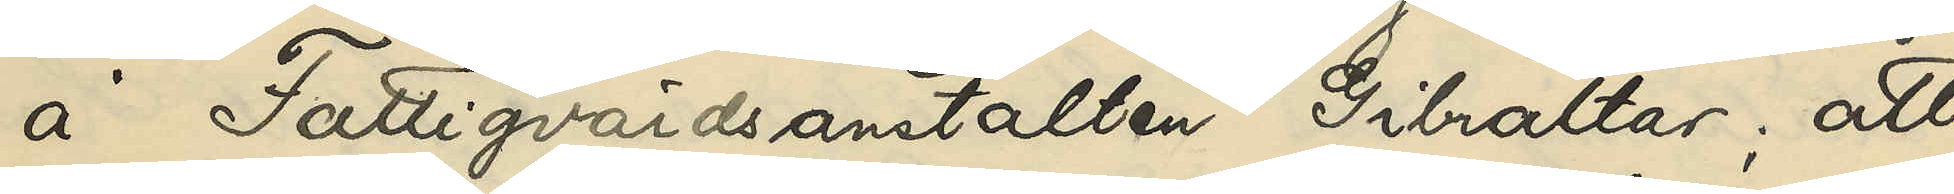å Fattigvårdsanstalten Gibraltar; att
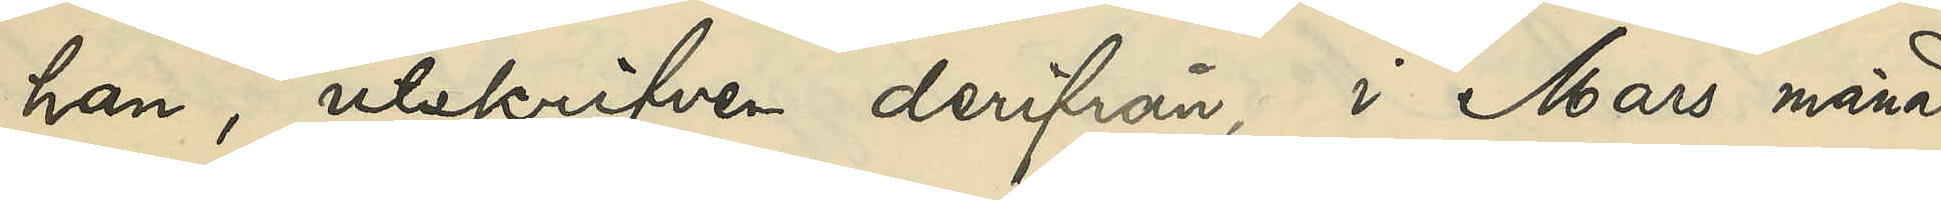han utskrifven derifrån, i Mars månad
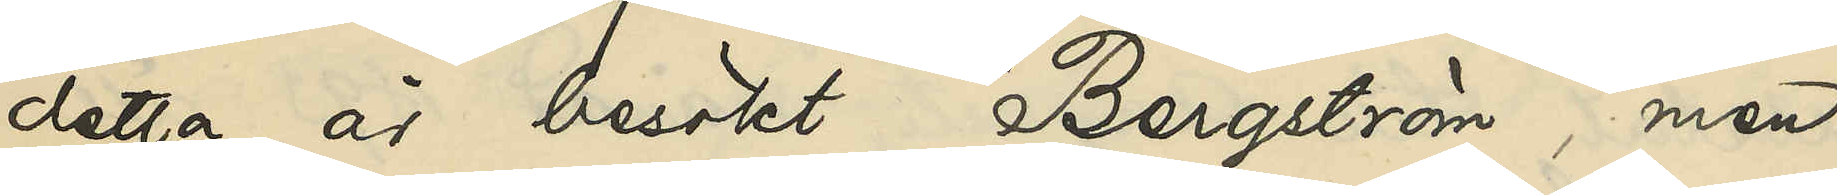detta år besökt Bergström, men
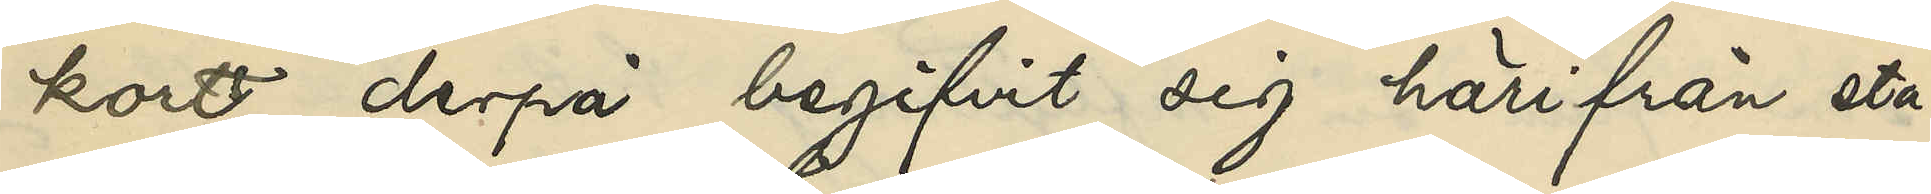kort derpå begifvit sig härifrån sta¬
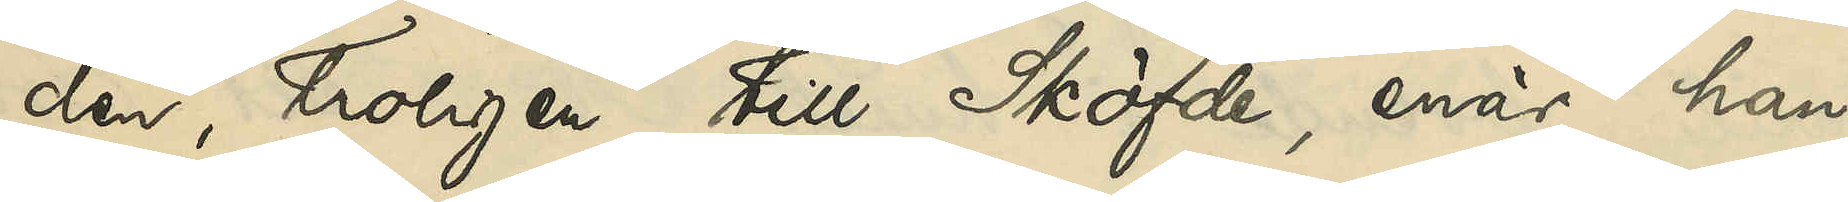den, troligen till Sköfde, enär han
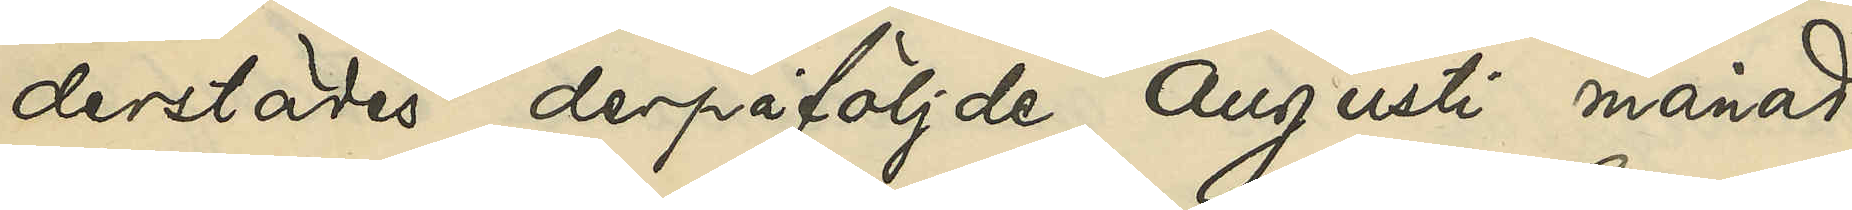derstädes derpåföljde Augusti månad
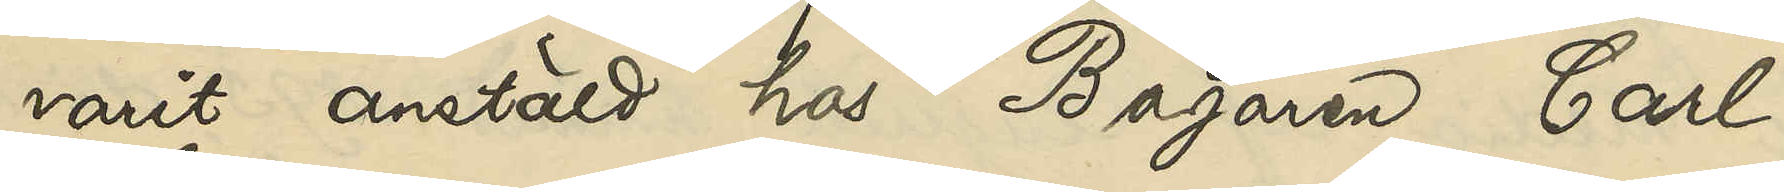varit anstäld hos Bagaren Carl
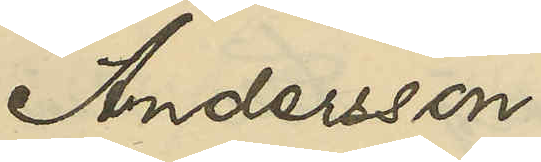Andersson.
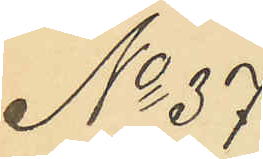No 37
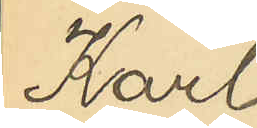Karl
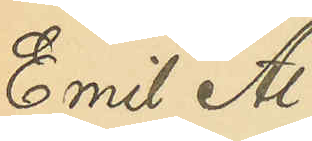Emil Al¬
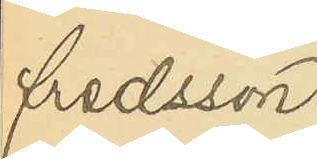fredsson
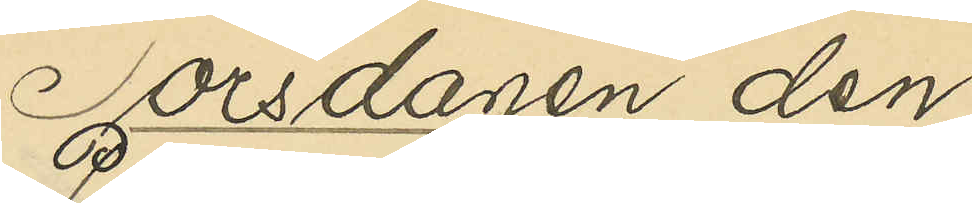Torsdagen den
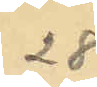28
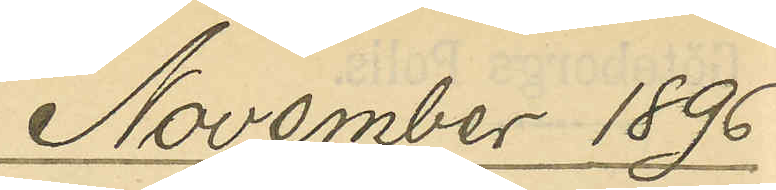November 1896.
